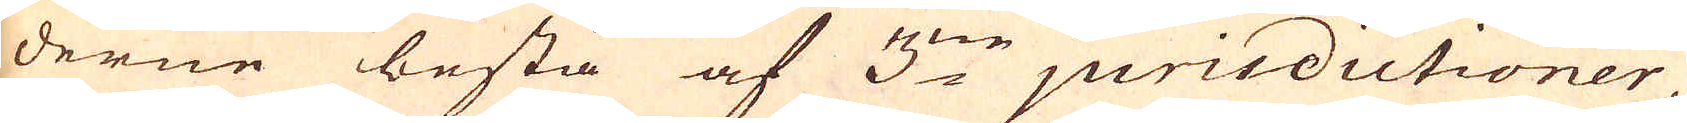derne bestå af 3:ne jurisdictioner
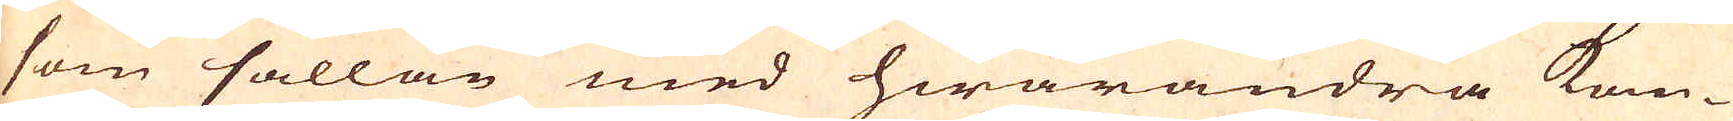som sällan med hwarandra kom-
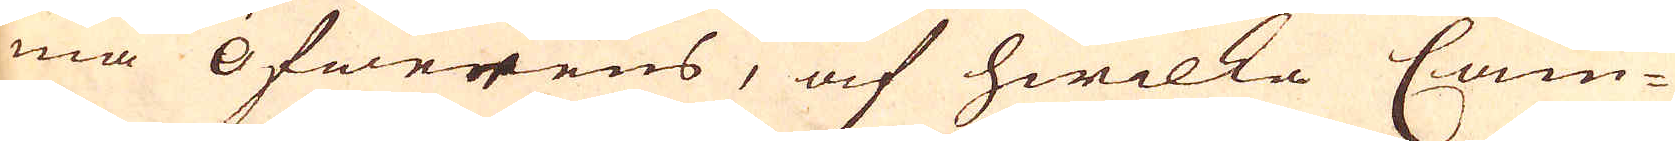ma Öfwerens, af hwilka Cam-
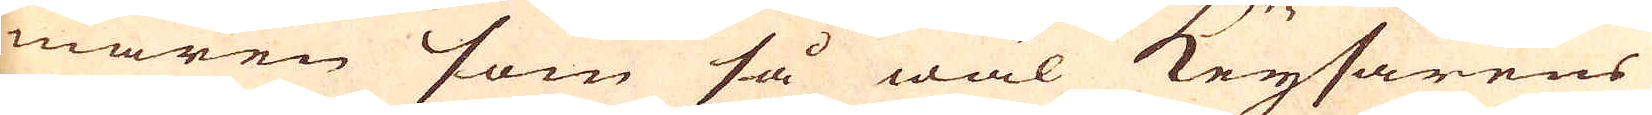maren som så wäl Keysarens
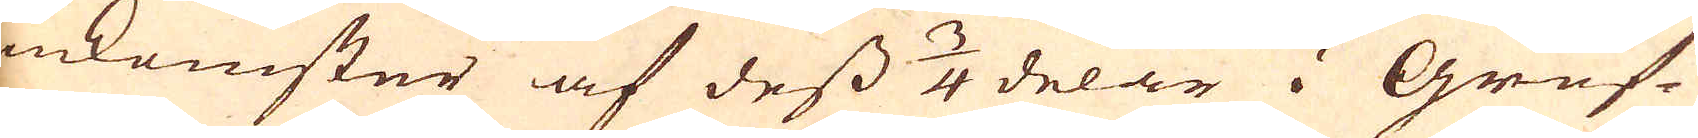inkomster af dess 3/4 delar i Gruf-
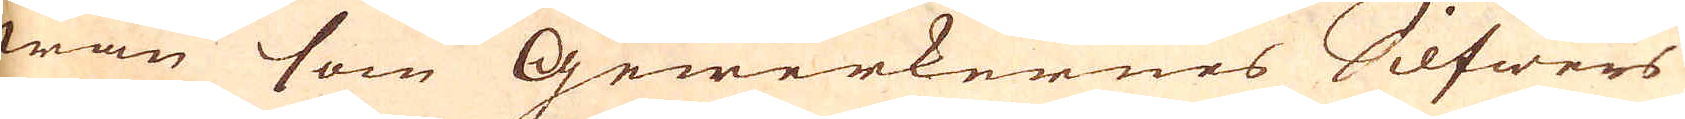wan som Gewerkernes Silfwers
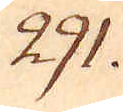291.
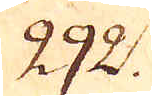292.
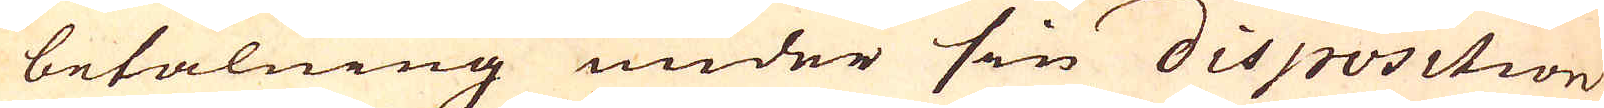betalning under sin disposition
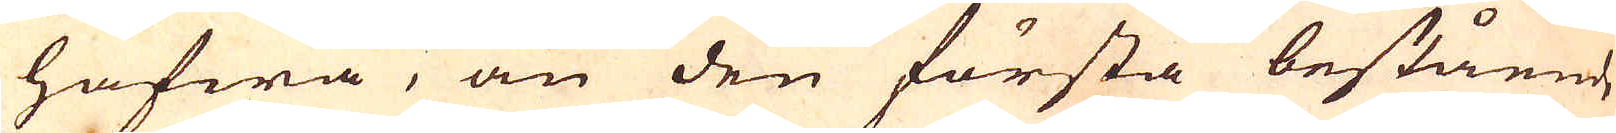hafwa, än den första bestående
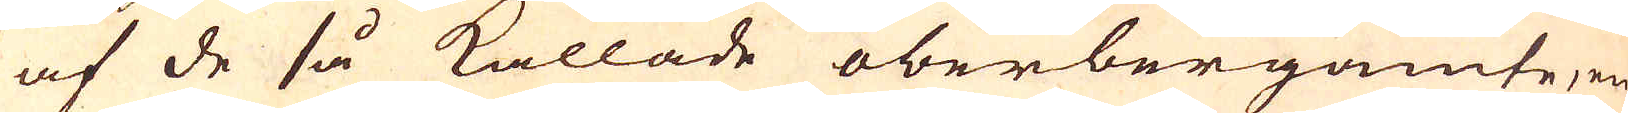af de så kallade oberbergamte, en
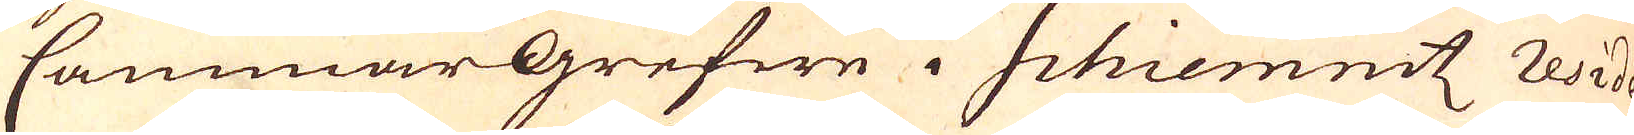Cammargrefwe i Schiemnitz Reside-
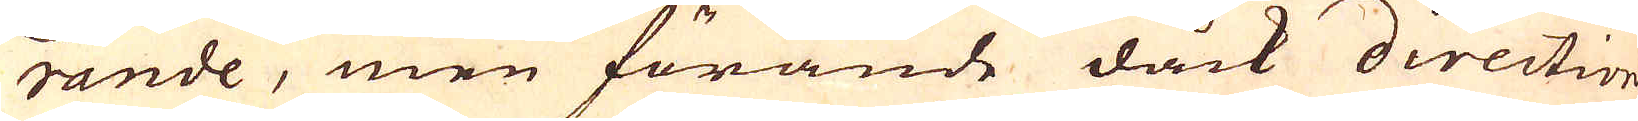rande, men förande dåck direction
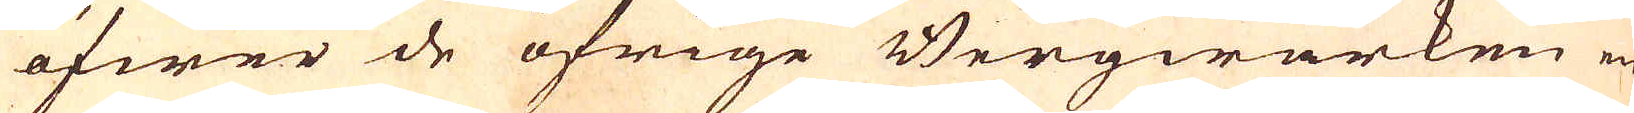öfwer de öfrige Bergwärken en
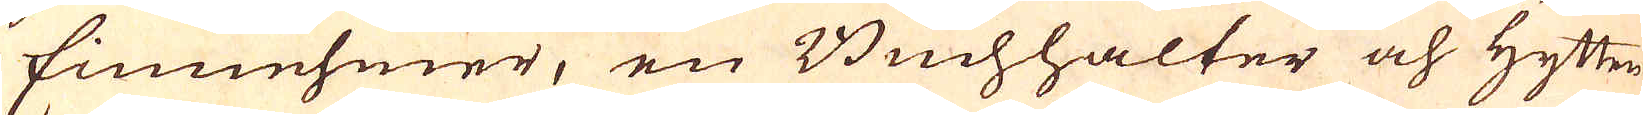Einnehmer, en Buchhalter och Hytten-
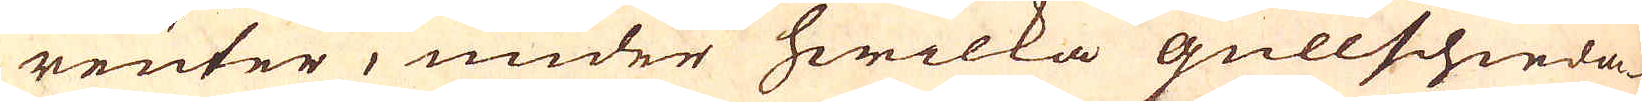reuter, under hwilka Gullschieda-
